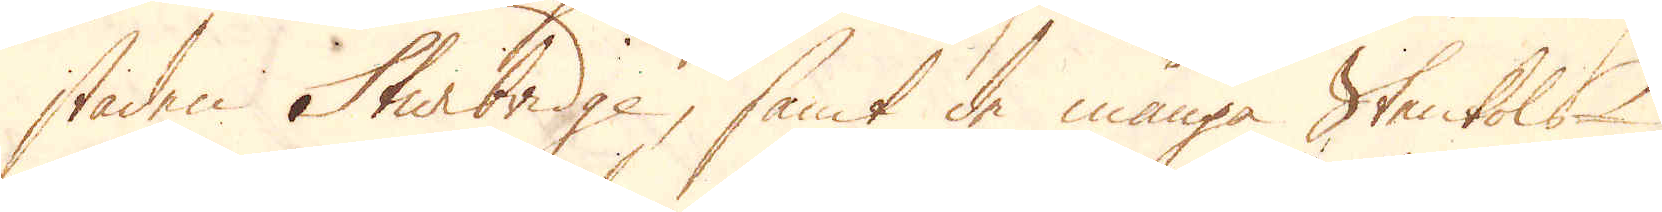staden Sturbridge, samt de många Stenkols-
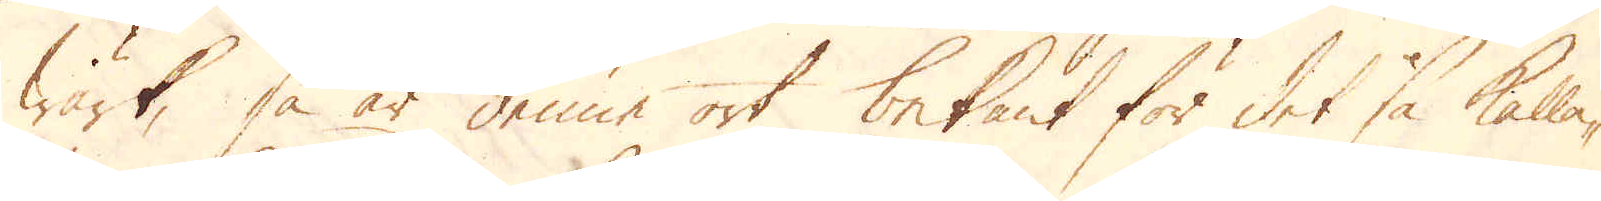wärk, så är denne ort bekant för det så kalla-
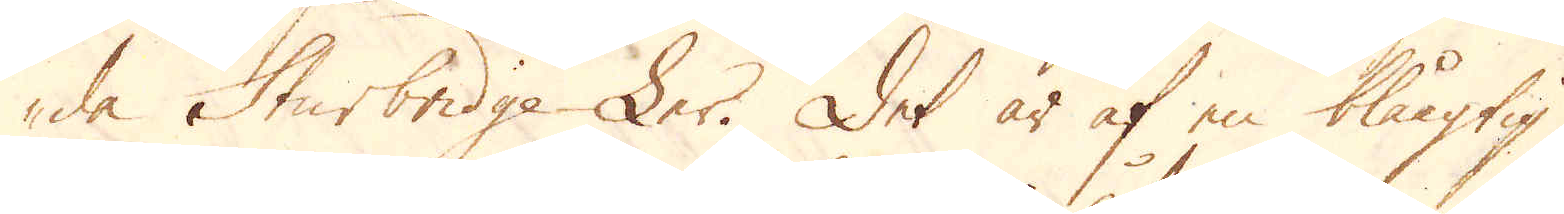de Sturbridge-Ler. Det är af en blåagtig
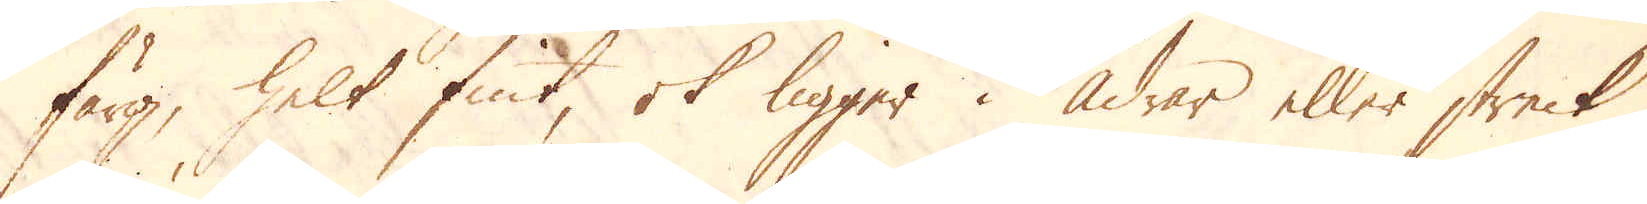färg, helt fint, ok ligger i Ådrar eller streck
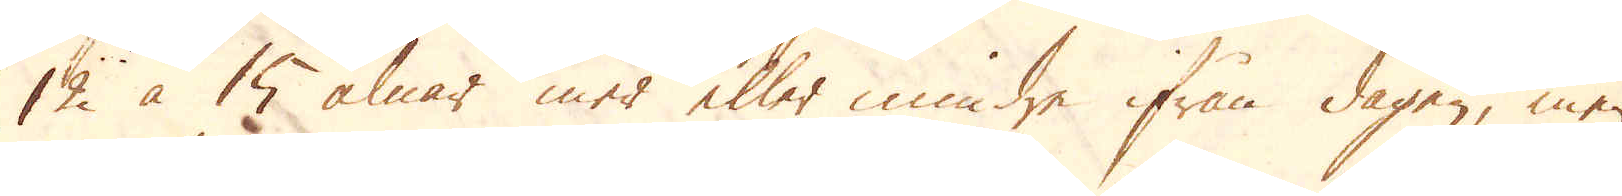12 à 15 alnar mer eller mindre ifrån dagen, men
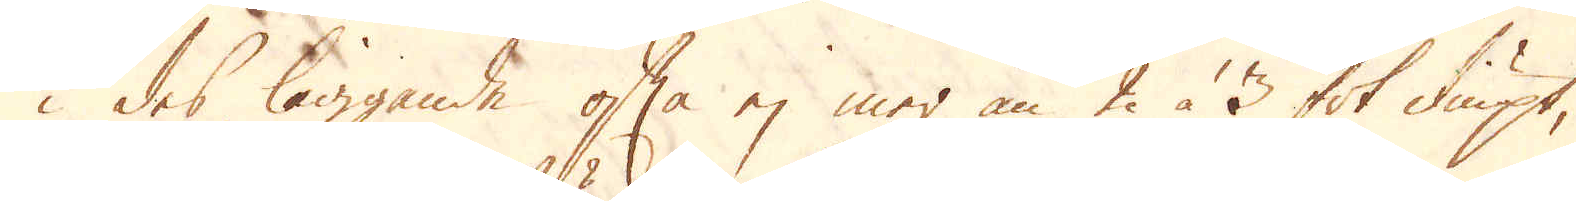i des liggande ofta ej mer än 2 à 3 fot diupt,
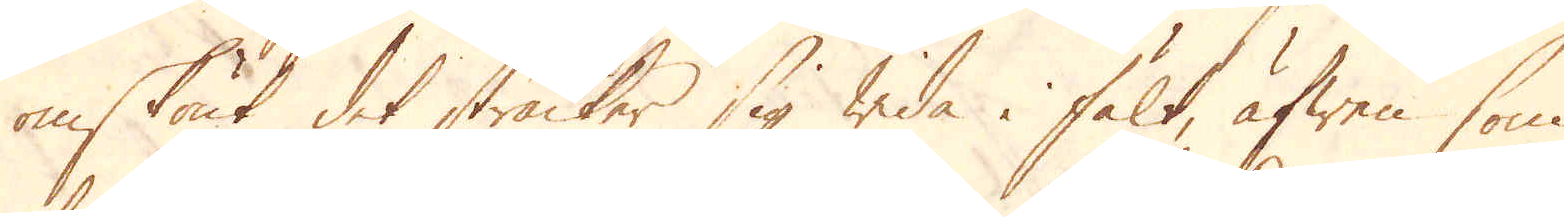omskönt det sträcker sig wida i fält, äfwen som
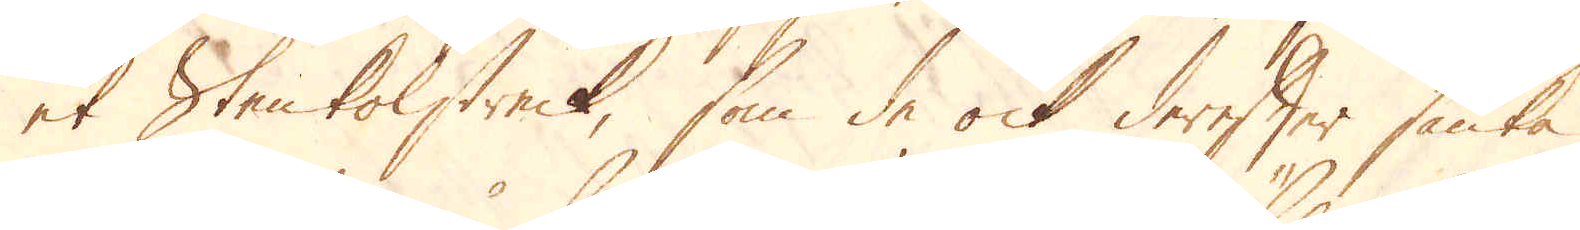et Stenkolstreck, som de ock derefter sänka
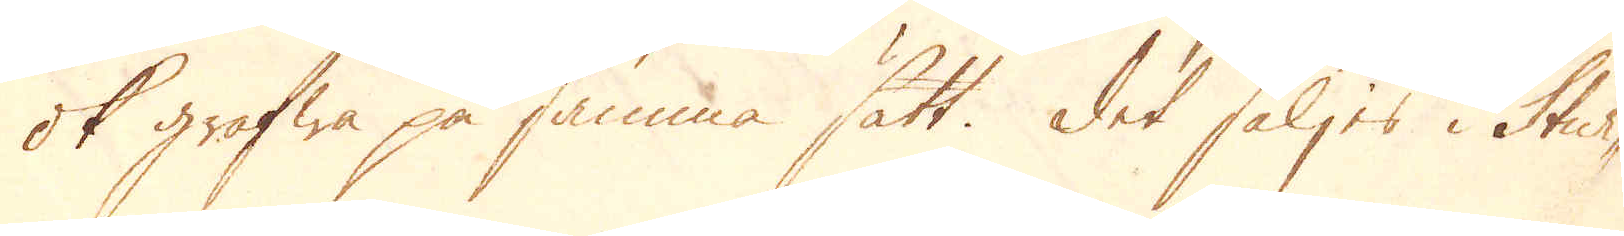ok gräfwa på samma sätt. Det säljes i Stur-
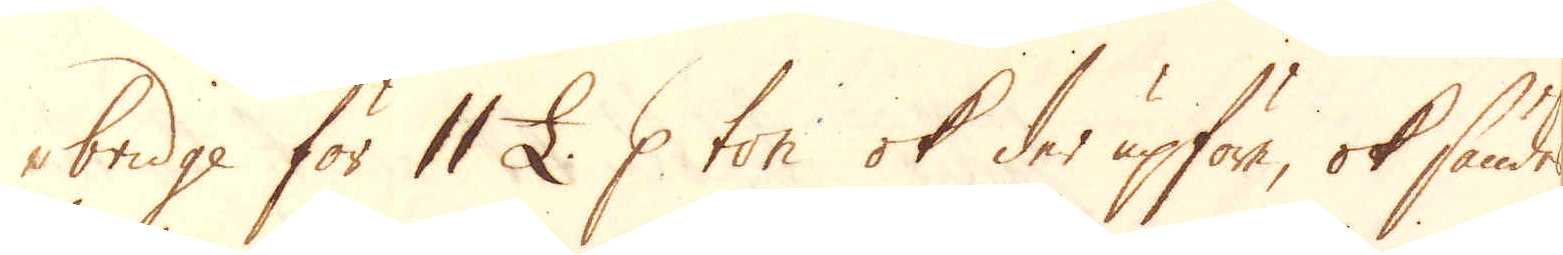-bridge för 11 £. p ton ok der upföre, ok sändes
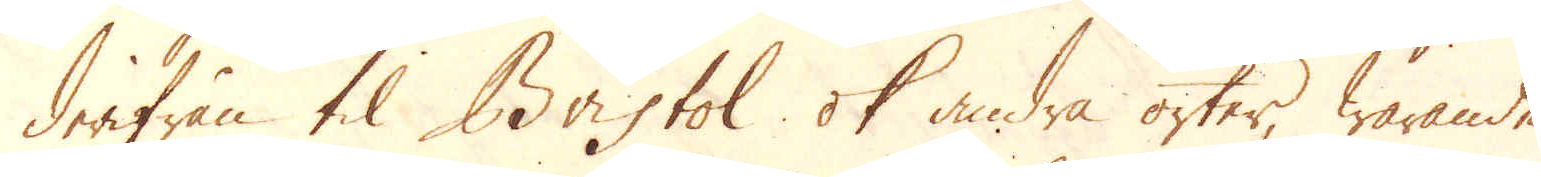derifrån til Bristol ok andra orter, warande
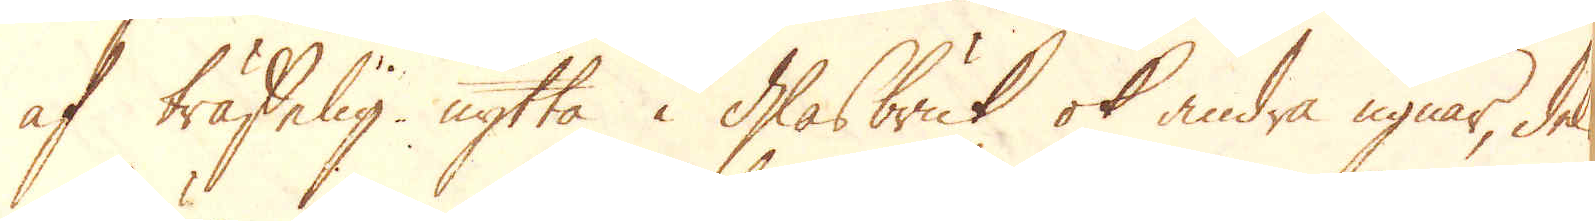af träffelig nytta i Glasbruk ok andra ugnar, dels
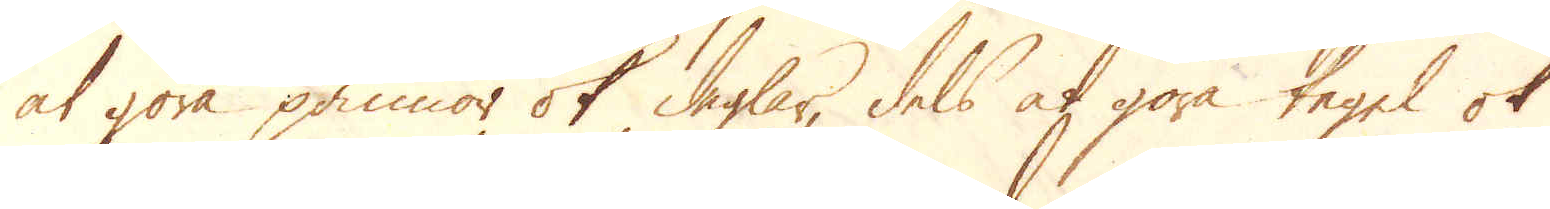at göra pannor ok deglar, dels at göra tegel ok
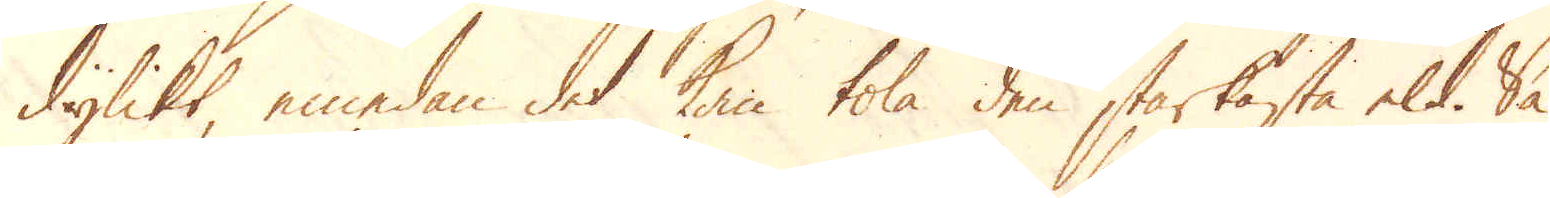dylikt, emedan det kan tola den starkaste eld. Så
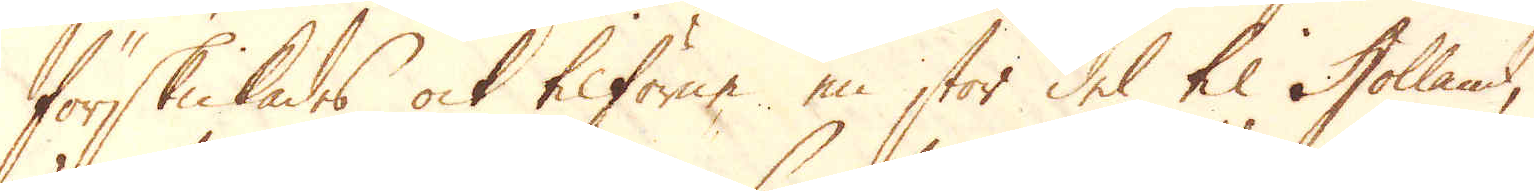förskickades ock tilförne en stor del til Holland,
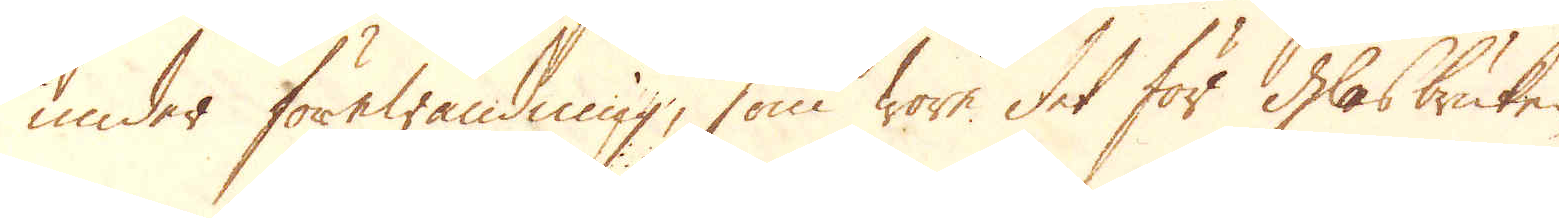under förewändning, som wore det för Glasbruken,
